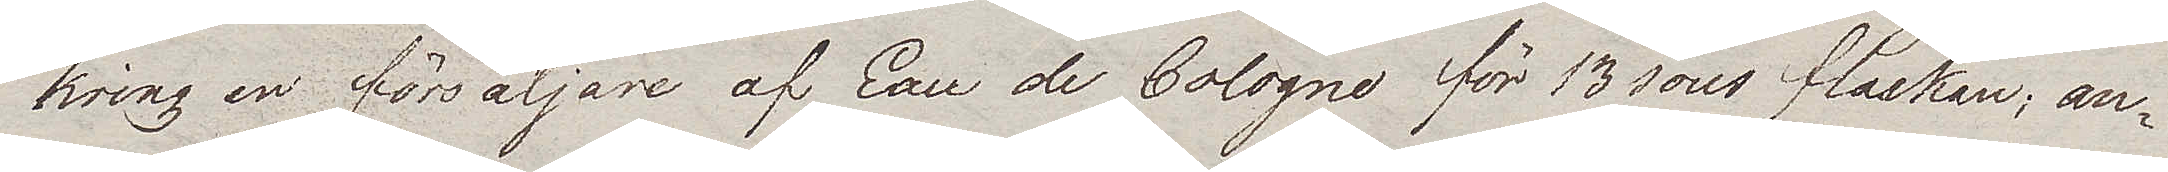kring en försäljare af Eau de Cologne för 13 sous flaskan; an¬
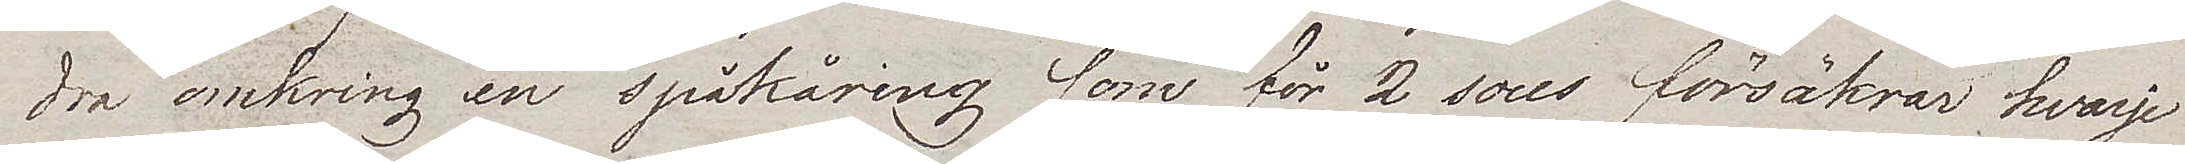dra omkring en spåkäring som för 2 sous försäkrar hvarje
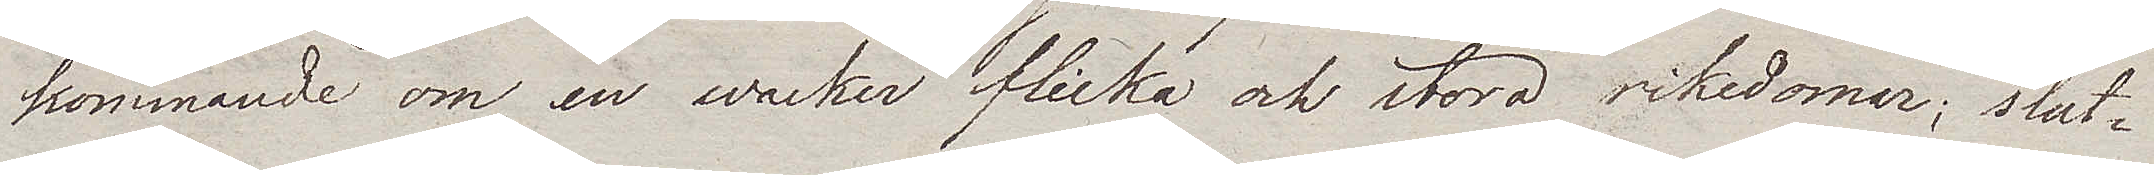kommande om en wacker flicka och stora rikedomar; slut¬
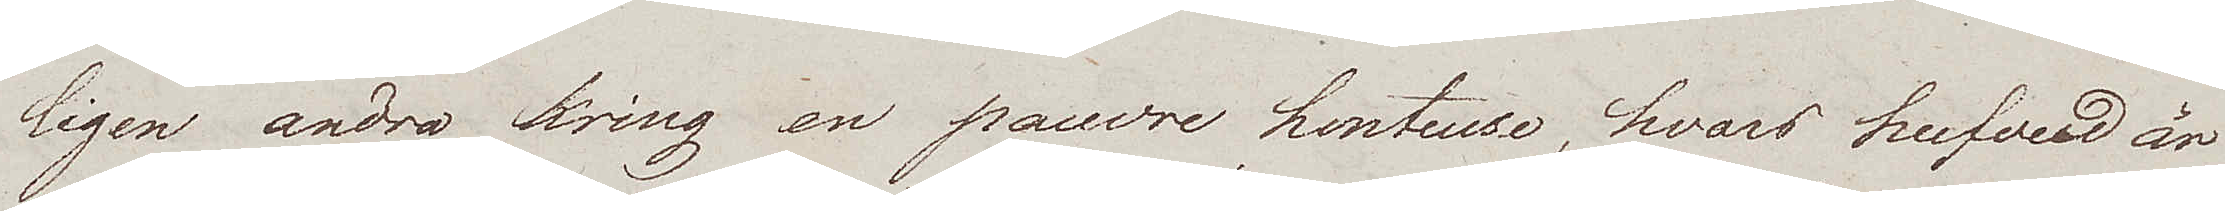ligen andra kring en pauvre honteuse, hvars hufvud är
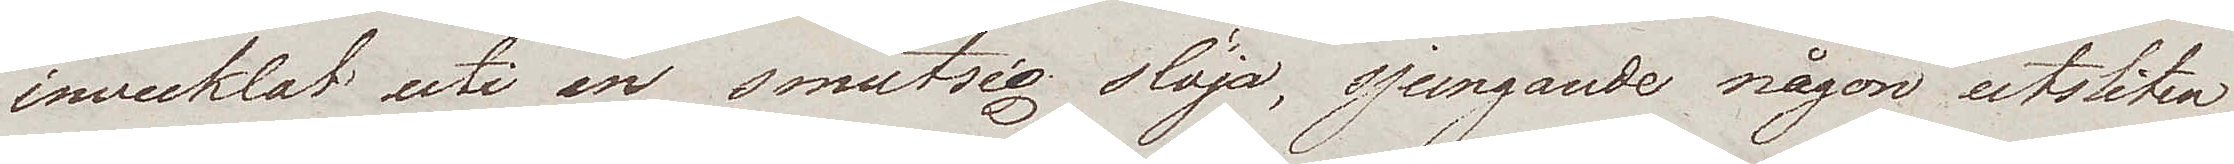invecklat uti en smutsig slöja, sjungande någon utsliten
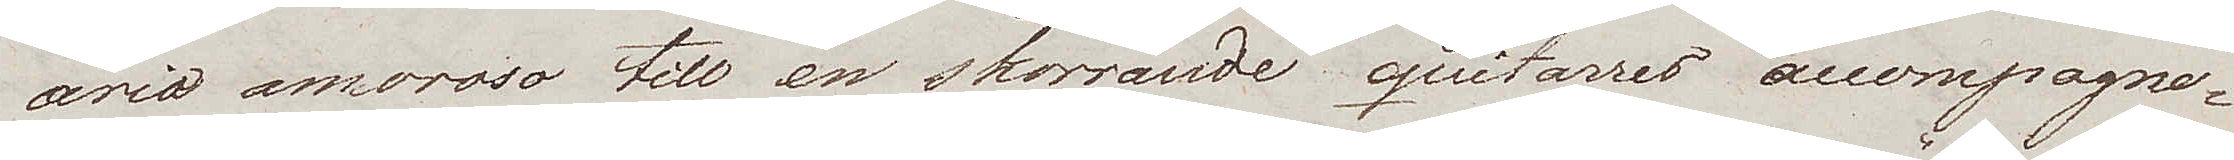aria amoroso till en skorrande quitarres accompagne¬
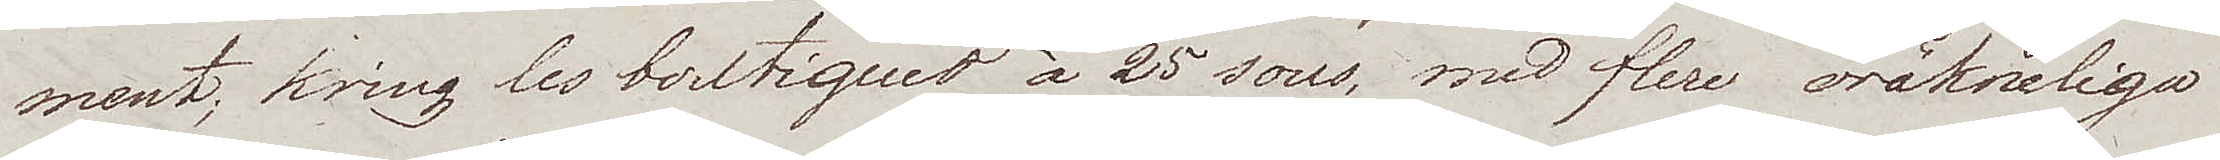ment; kring les boutiques à 25 sous, med flere oräkneliga
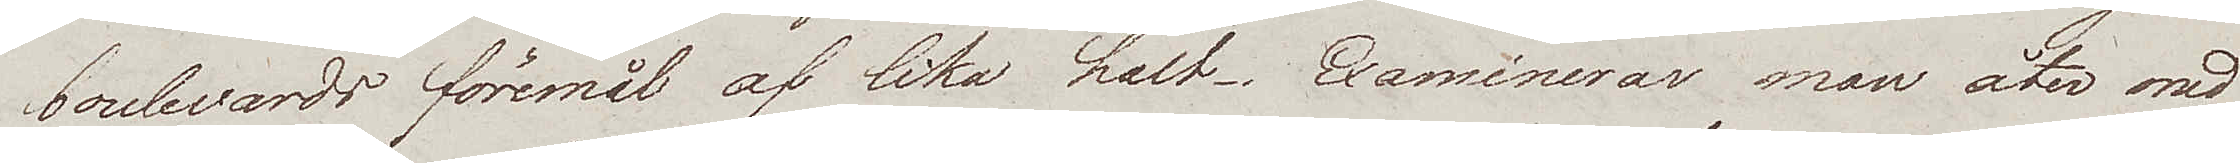boulevards föremål af lika halt. Examinerar man åter med
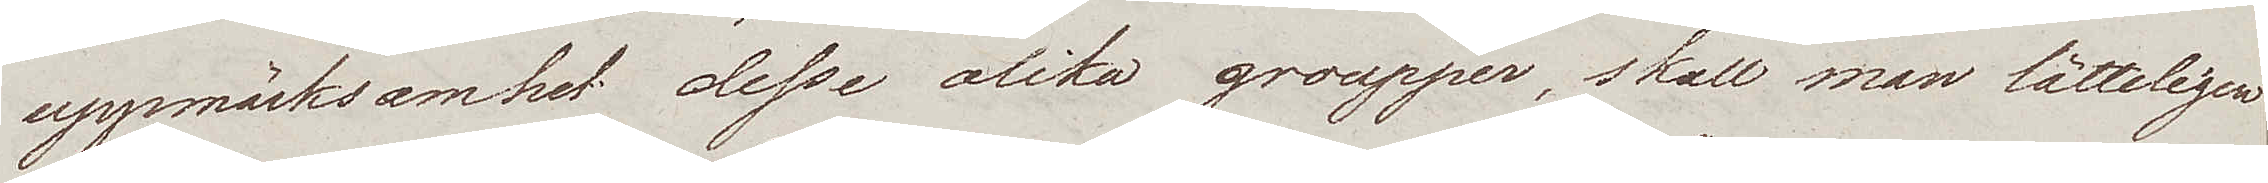uppmärksamhet desse olika groupper, skall man lätteligen
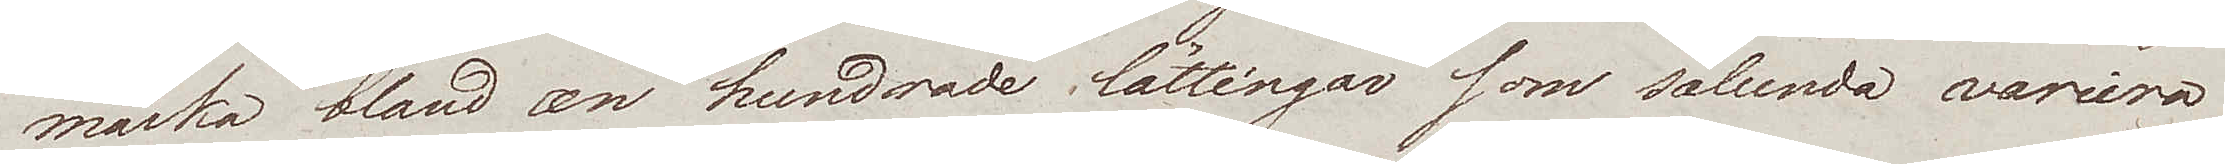märka bland en hundrade lättingar som sålunda variera
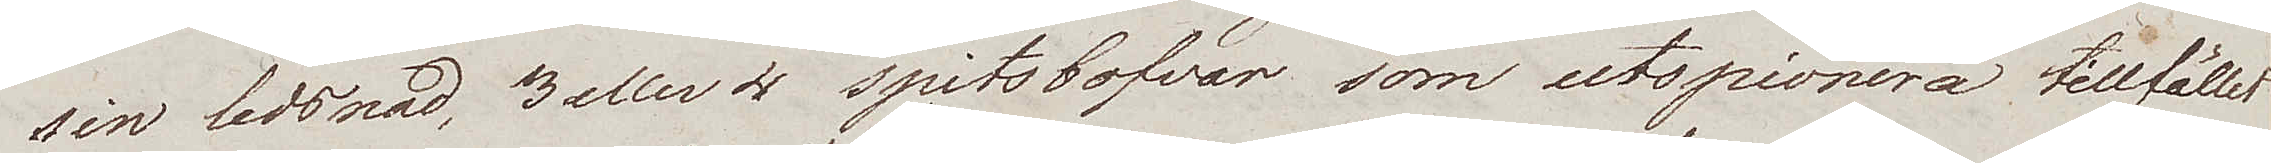sin ledsnad, 3 eller 4 spitsbofvar som utspionera tillfället
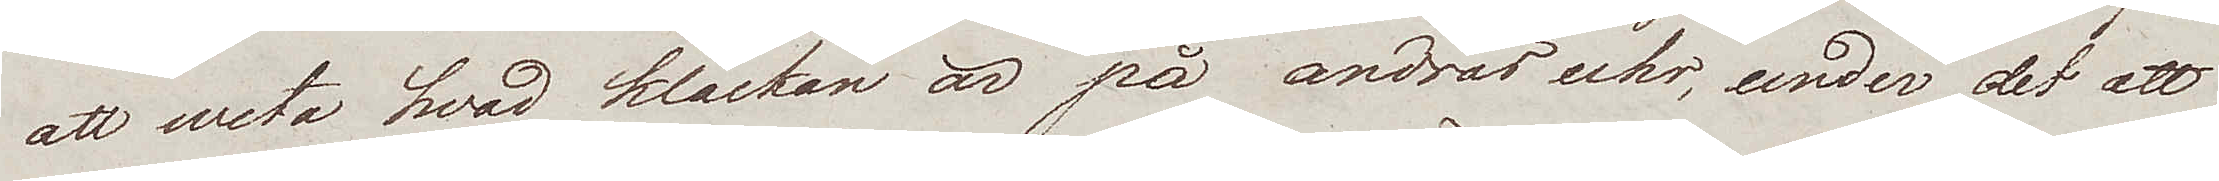att weta hvad klockan är på andras uhr, under det att
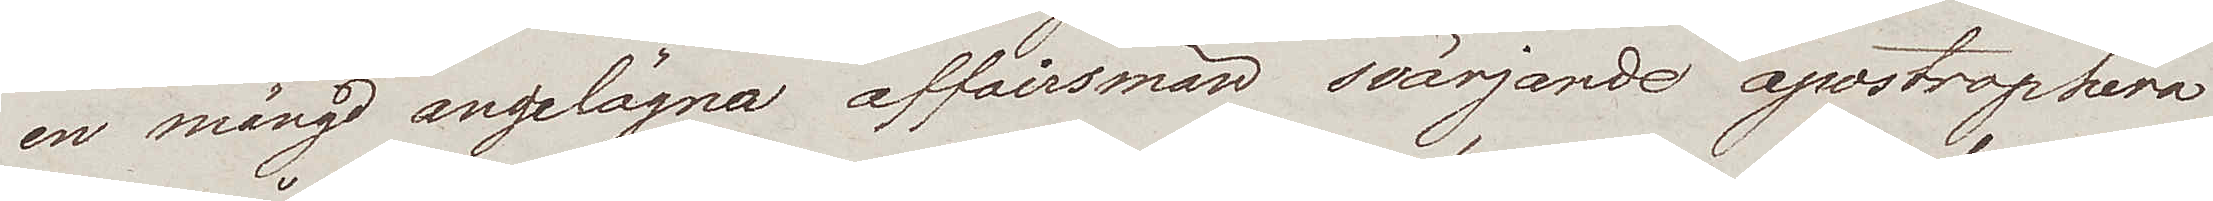en mängd angelägna affairsmän svärjande apostrophera
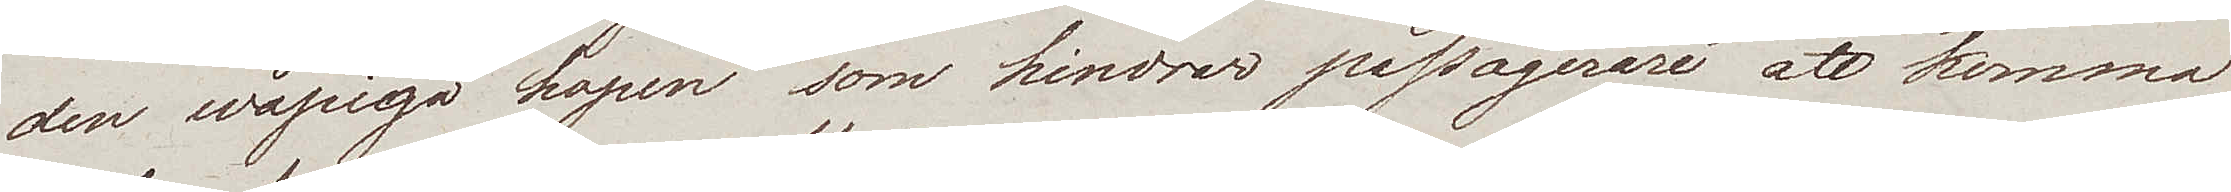den wåpiga hopen som hindrar passagerare att komma
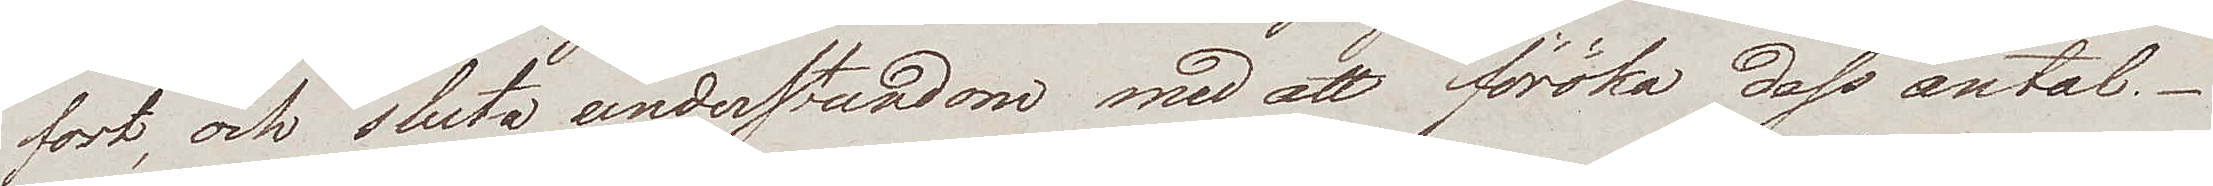fort, och sluta understundom med att föröka dess antal.-
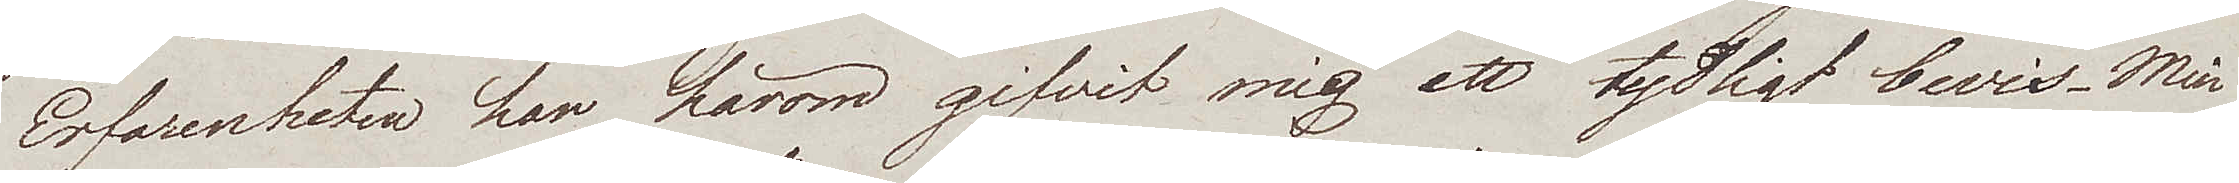Erfarenheten har härom gifvit mig ett tydligt bevis. Min
